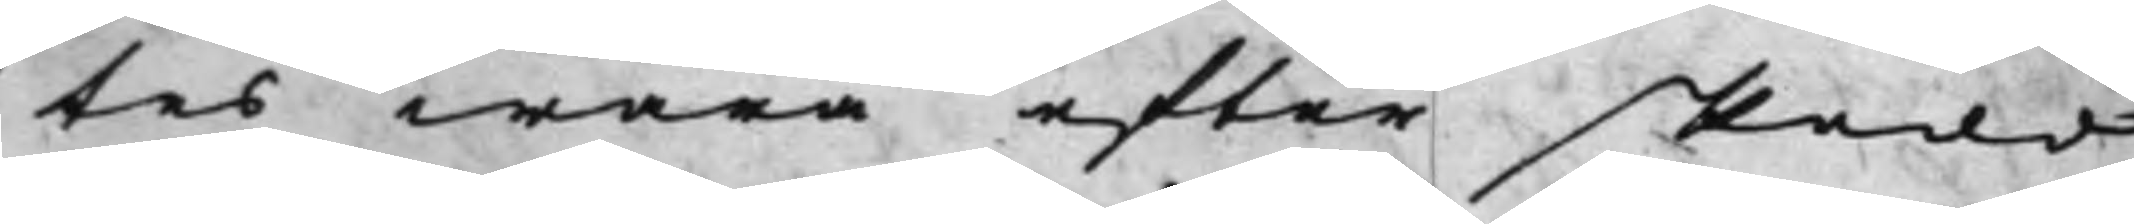tes wara efter skedd
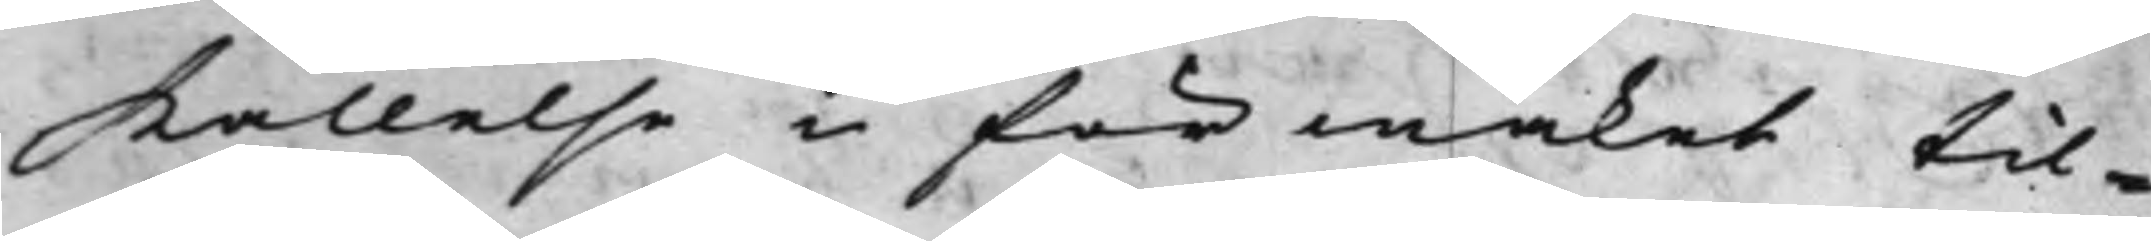kallelse i förmaket til¬
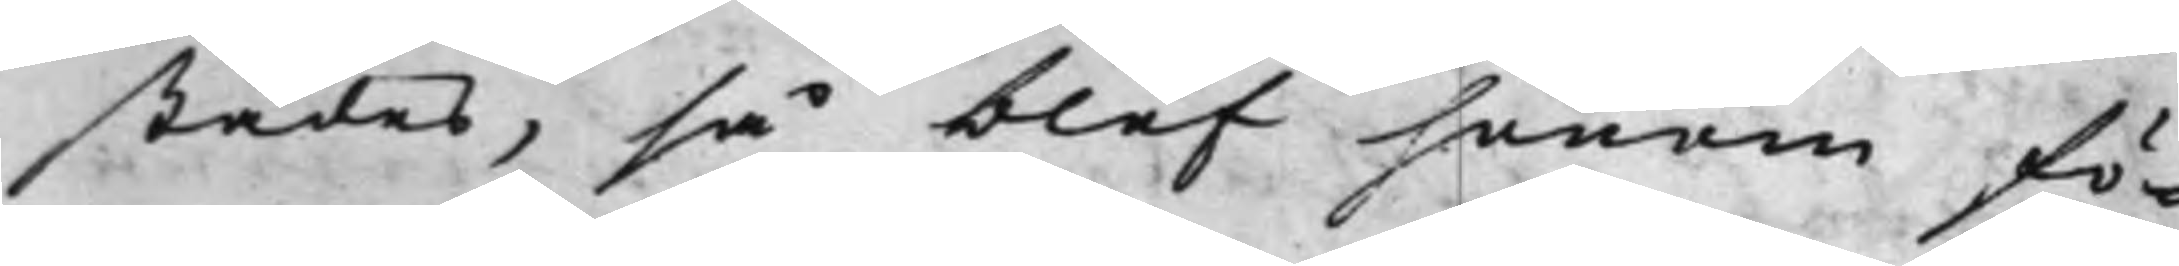städes, så blef honom fö¬
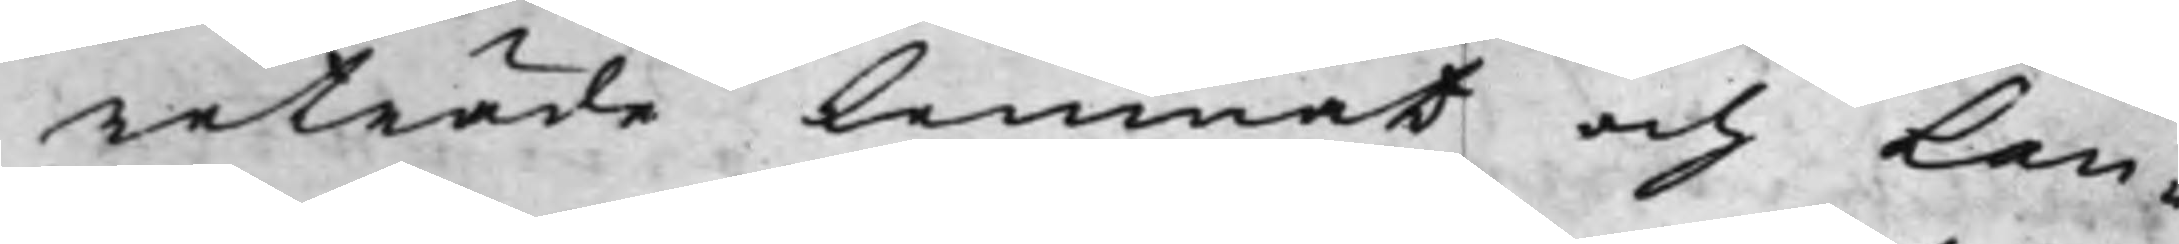reträde lemnat och Lan¬
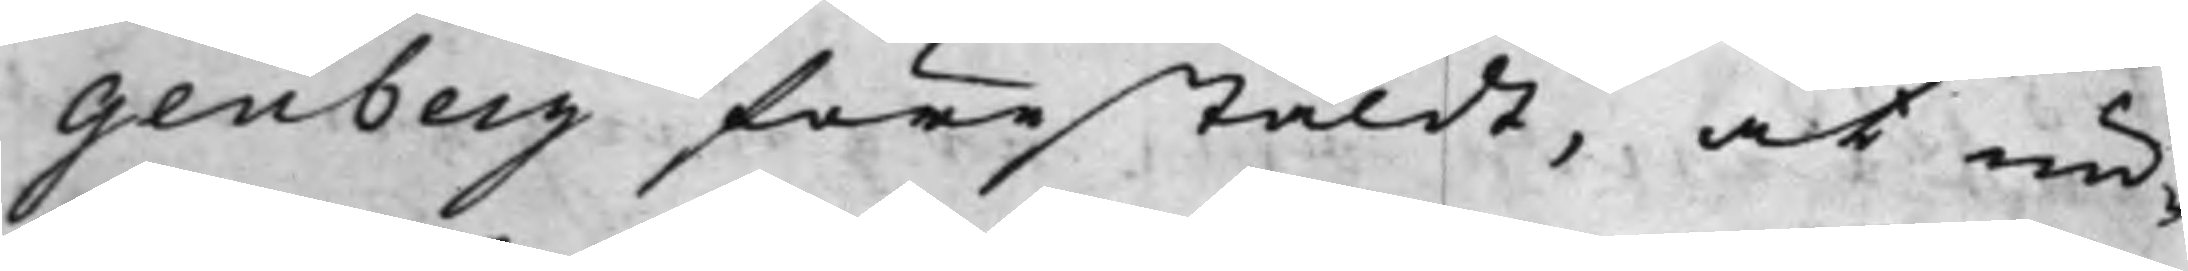genberg förestäldt, at un¬
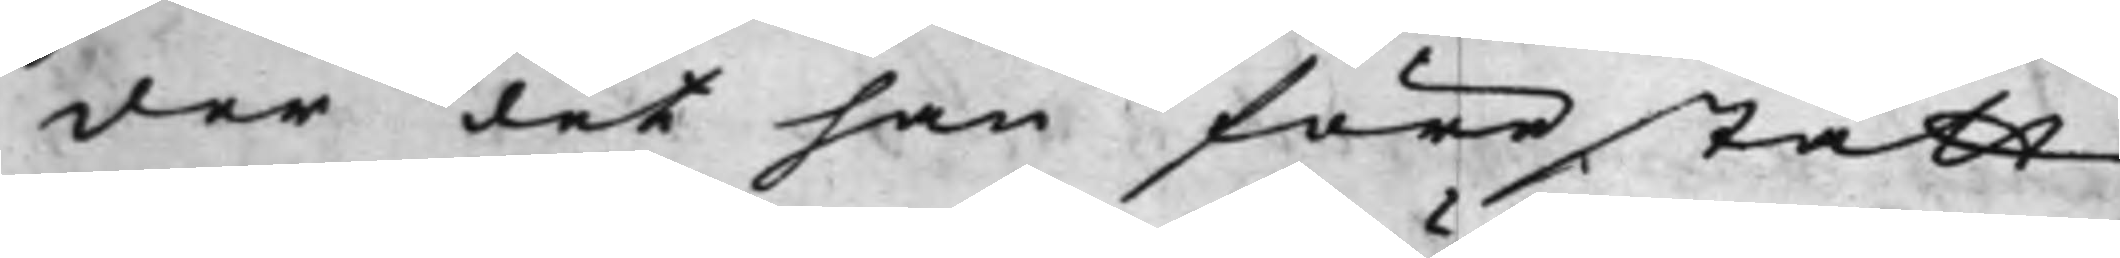der det han förestått
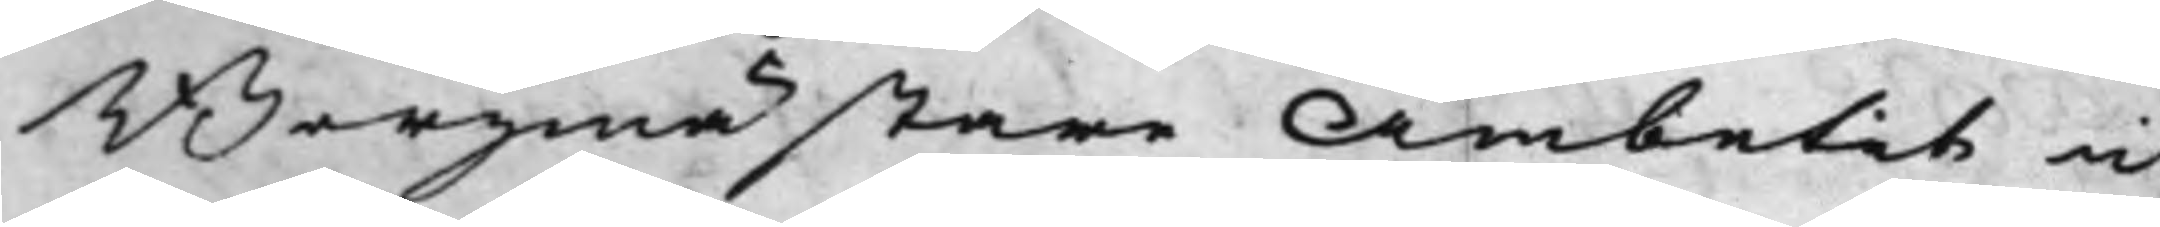Borgmästare Ämbetet i
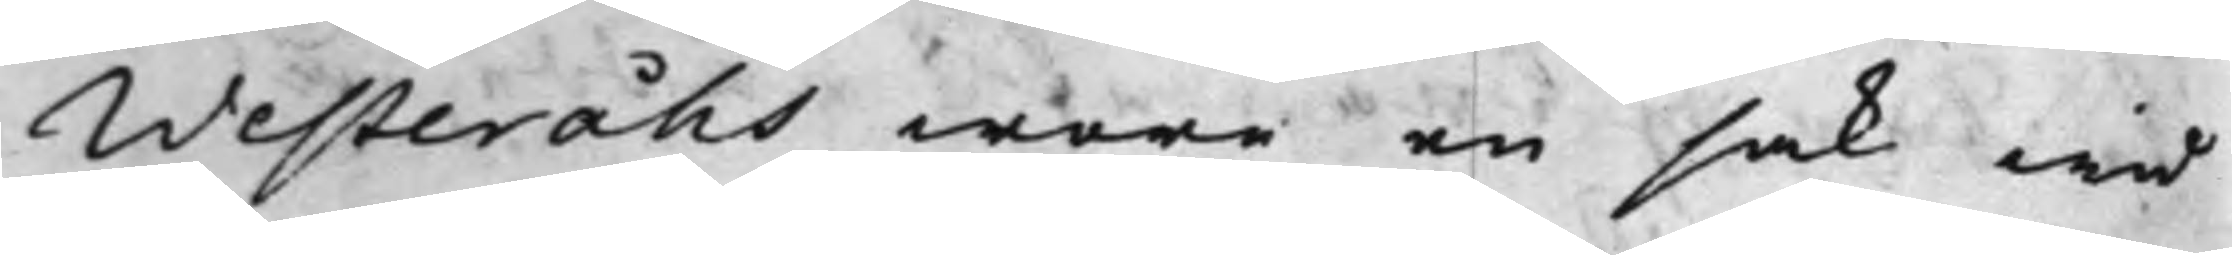Westeråhs wore en sak wid
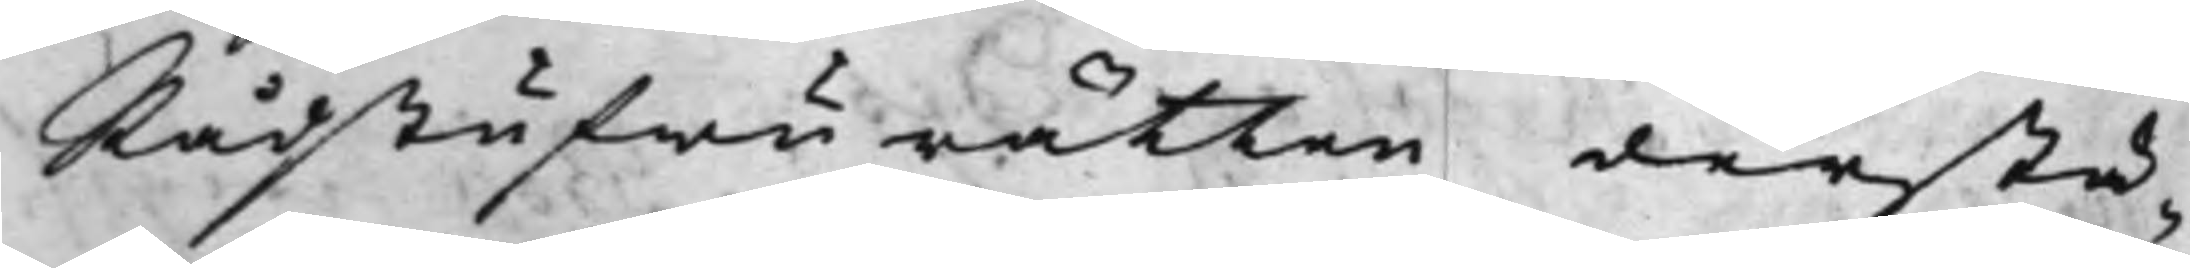Rådstufwurätten derstä¬
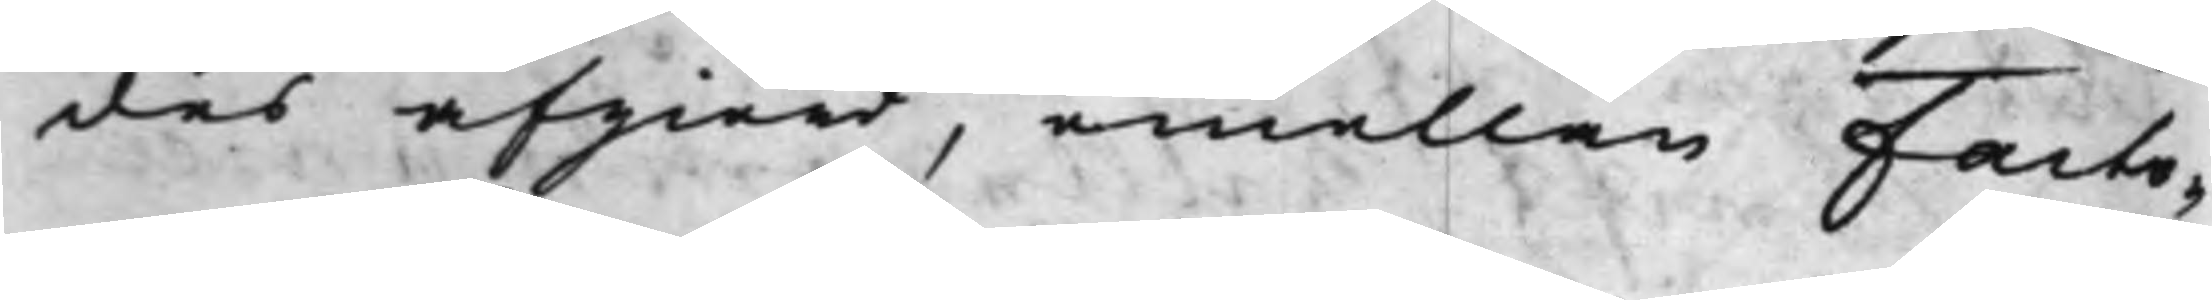des afgiord, emellan Facto¬
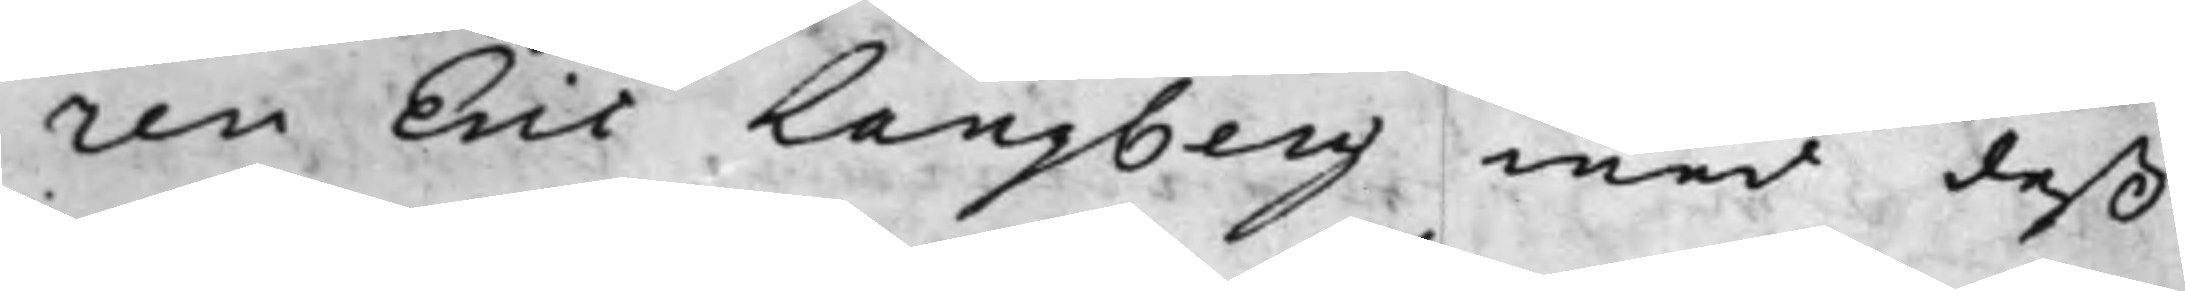ren Eric Langberg med deß
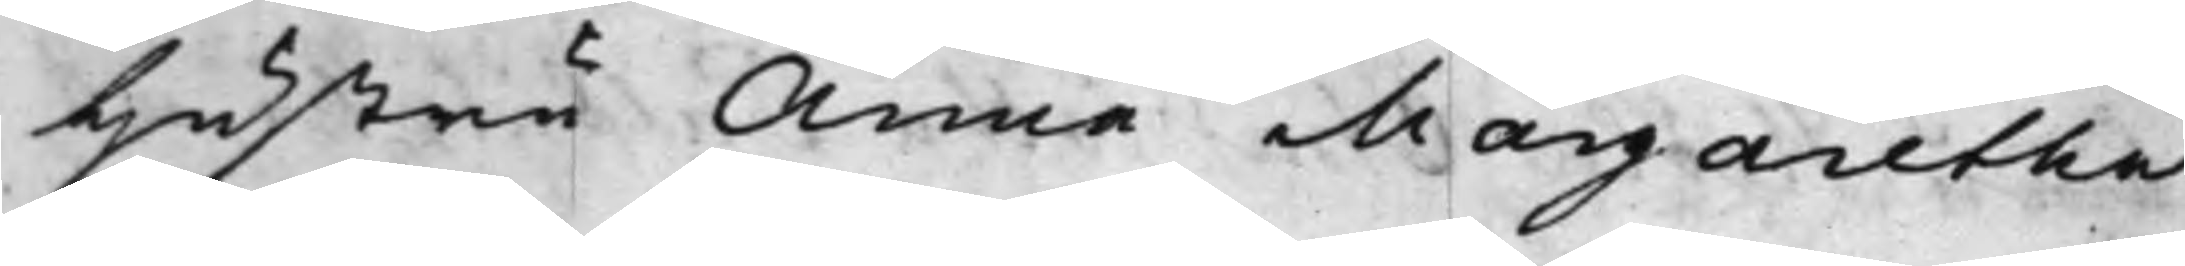Hustru Anna Margaretha
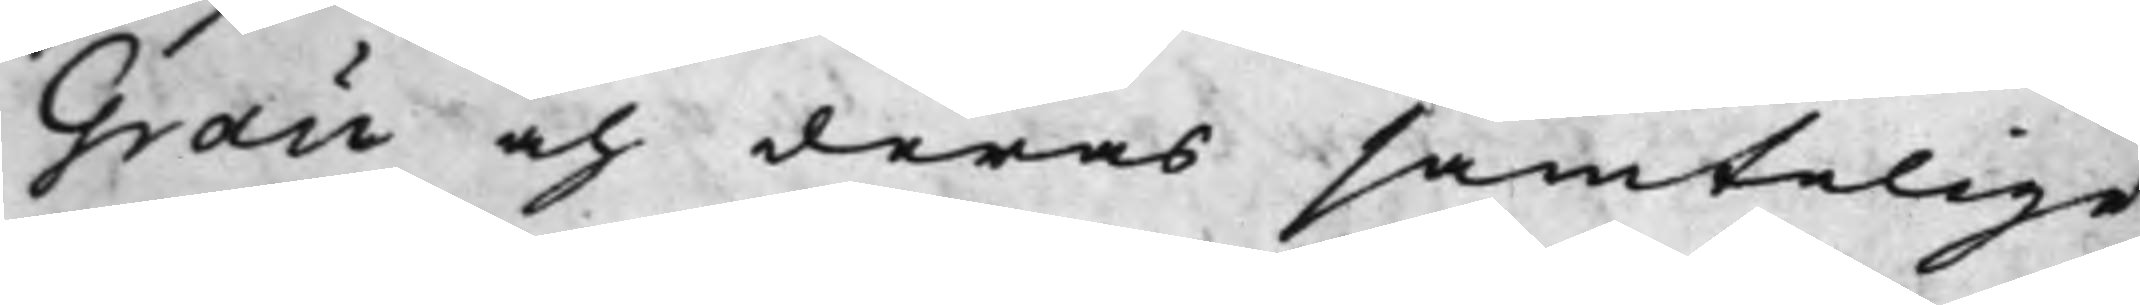Grau och deras samtelige
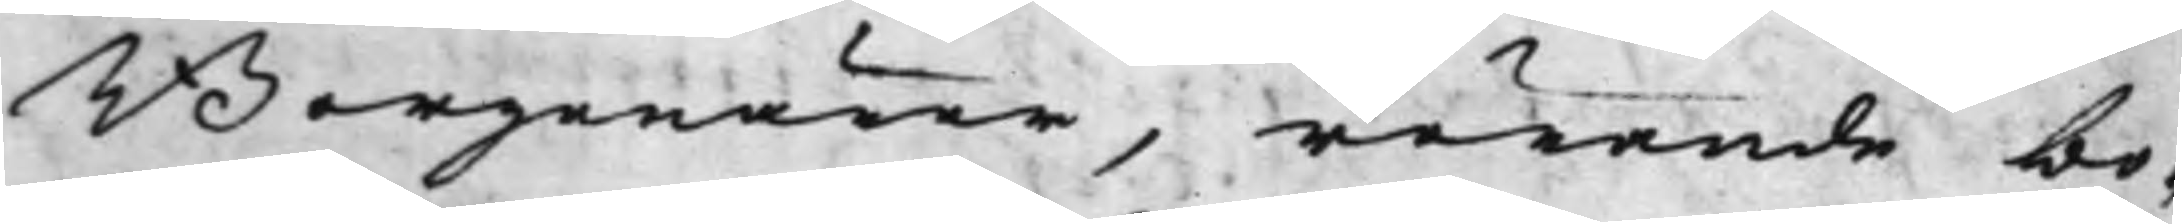Borgenärer, rörande bo¬
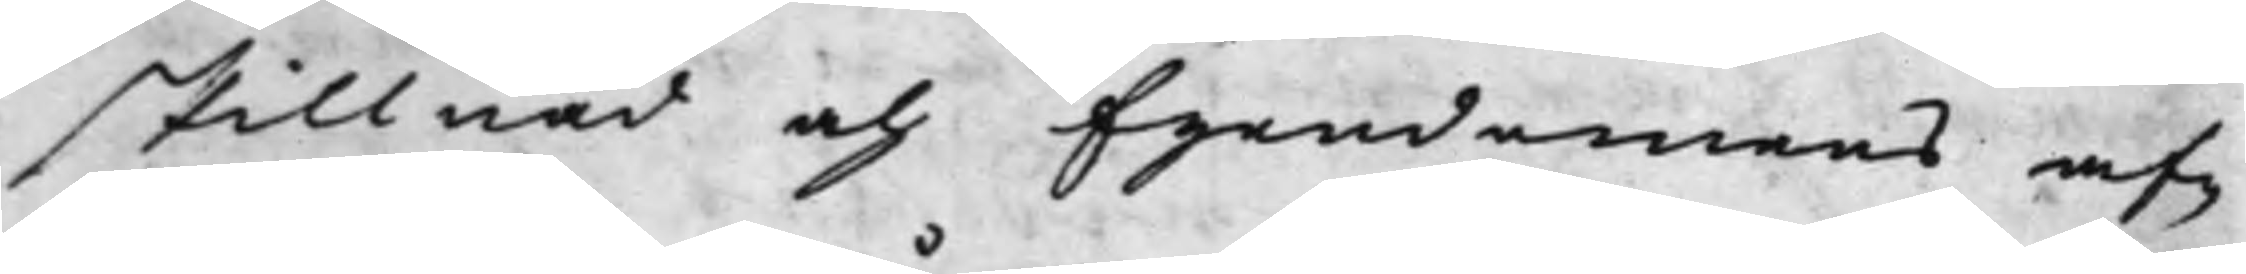skillnad och Egendomens af¬
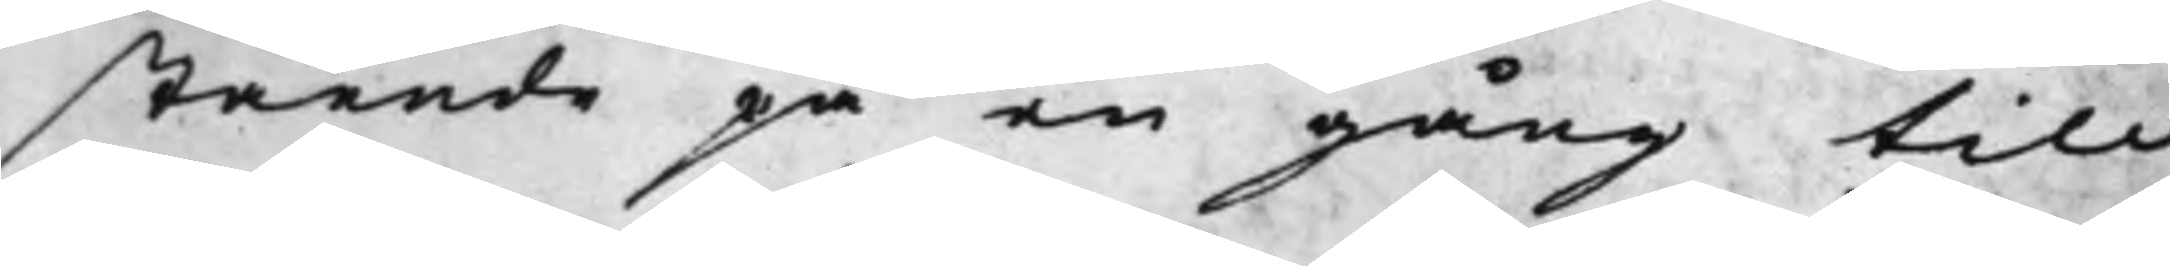stående på en gång till
